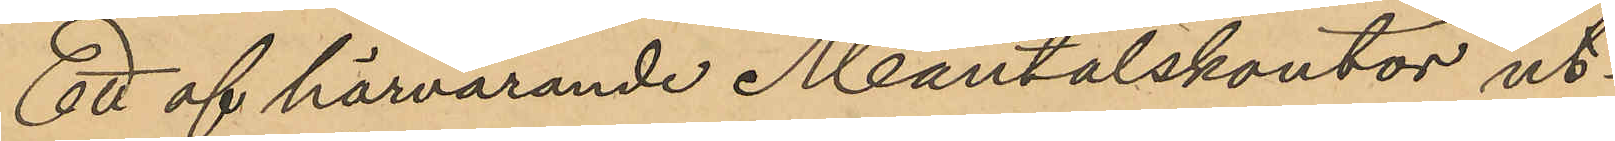Ett af härvarande Mantalskontor ut¬
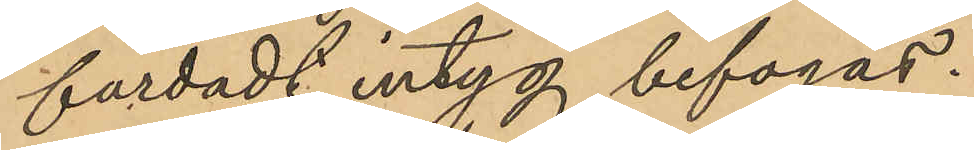färdadt intyg bifogas.
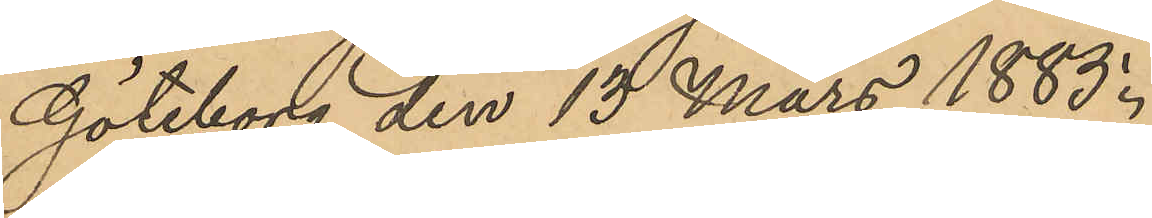Göteborg den 13 Mars 1883.
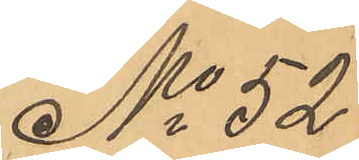No 52
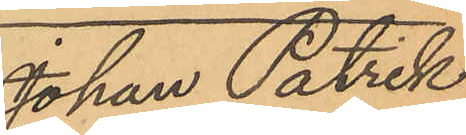Johan Patrik
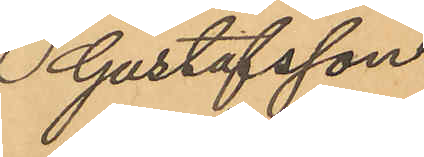Gustafsson
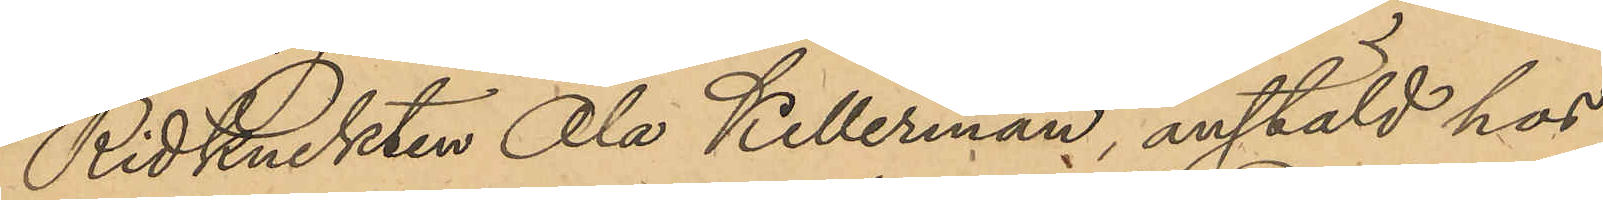Ridknekten Ola Kellerman, anstäld hos
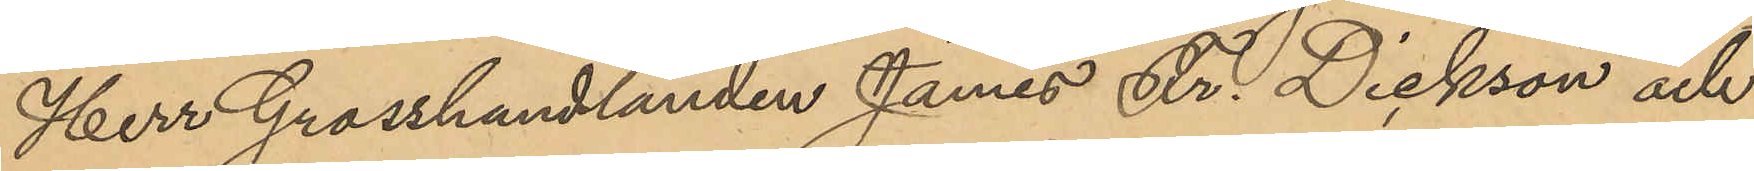Herr Grosshandlanden James Fr. Dickson och
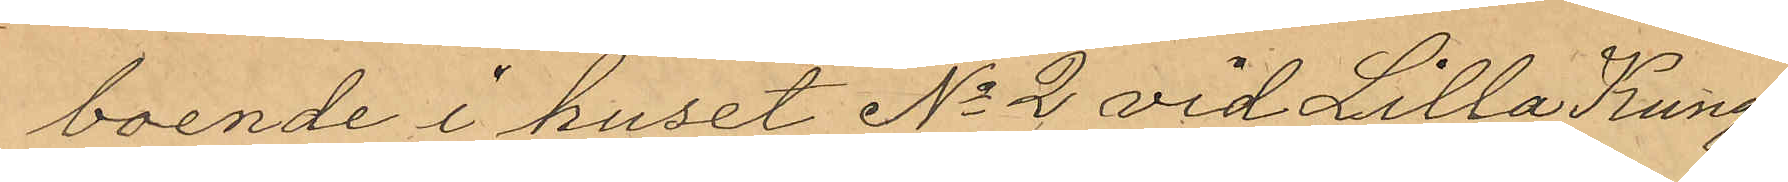boende i huset No 2 vid Lilla Kungs¬
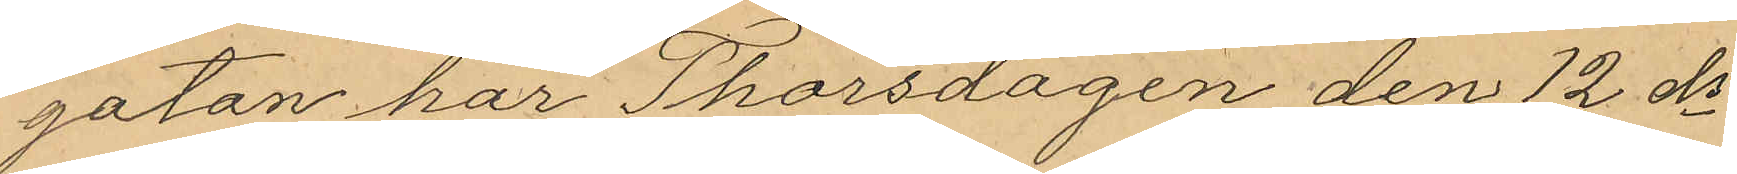gatan har Thorsdagen den 12 ds
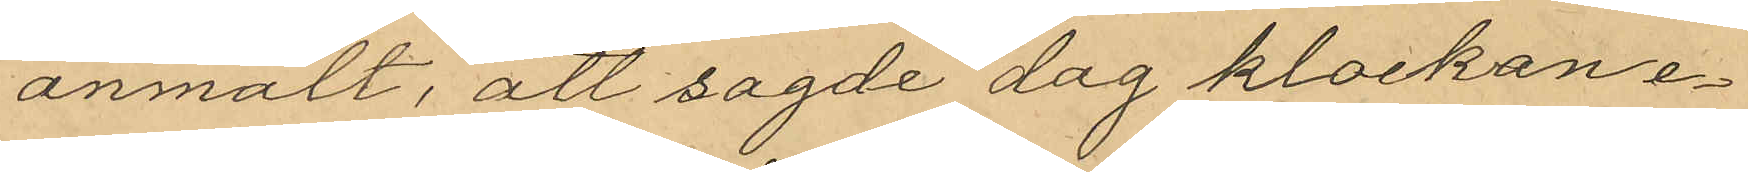anmält, att sagde dag klockan e¬
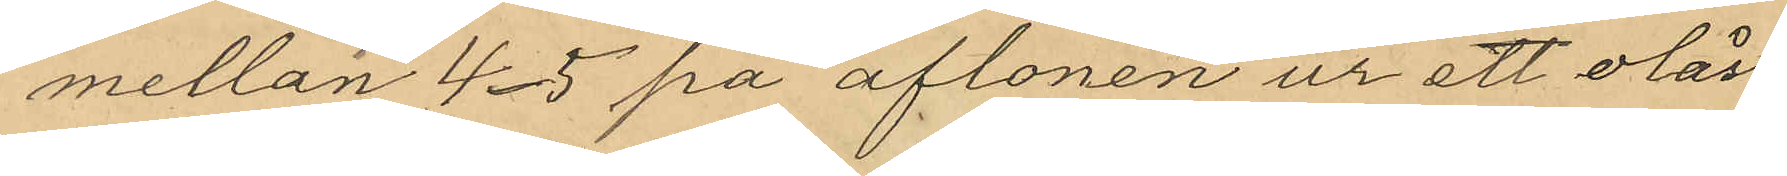mellan 4-5 på aftonen ur ett olåst
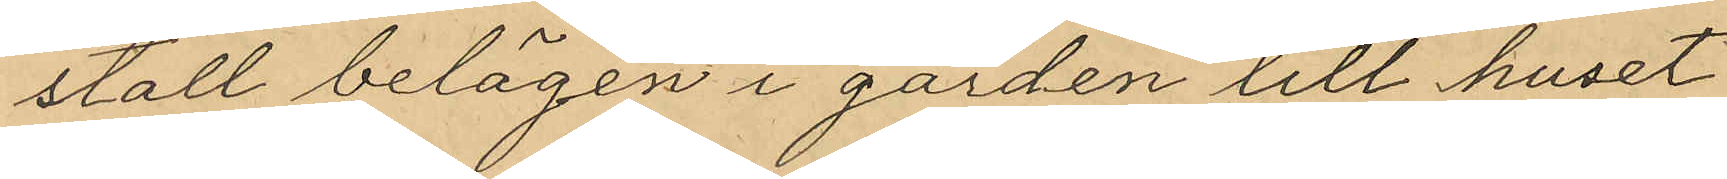stall belägen i garden till huset
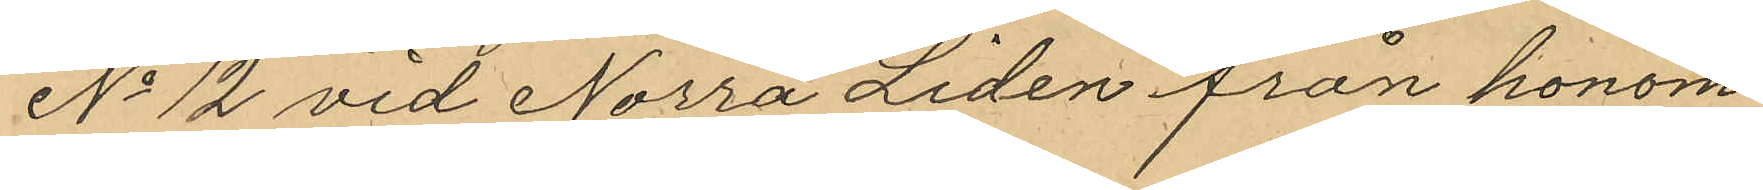No 12 vid Norra Liden från honom
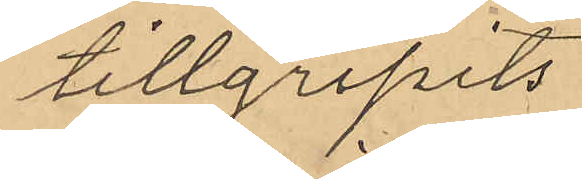tillgripits
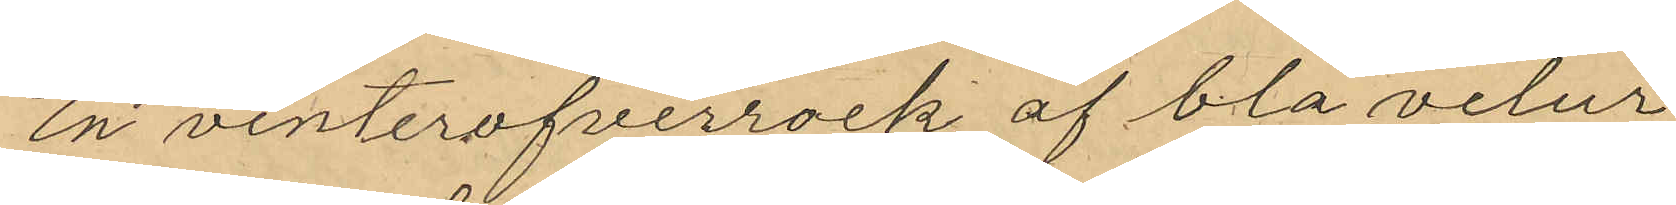en vinterofverrock af blå velur
